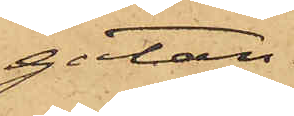gatan.
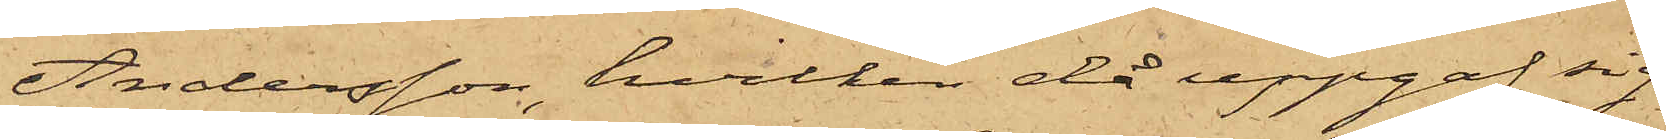Andersson, hvilken då uppgaf sig
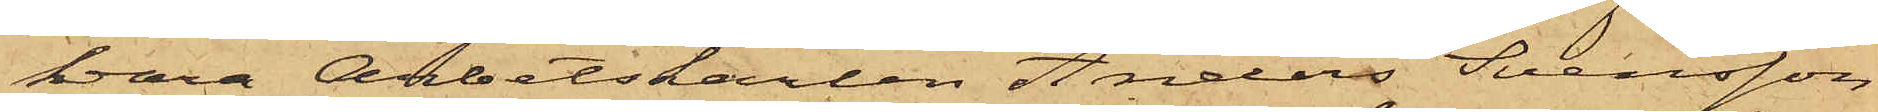vara Arbetskarlen Anders Svensson
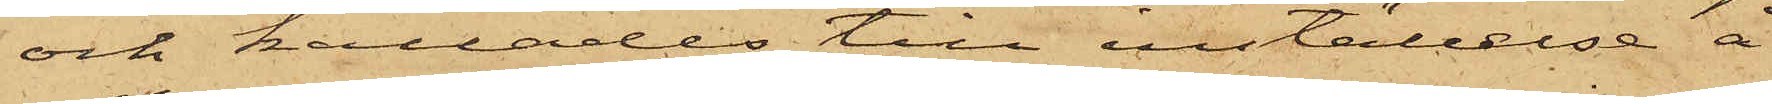och kallades till inställelse å
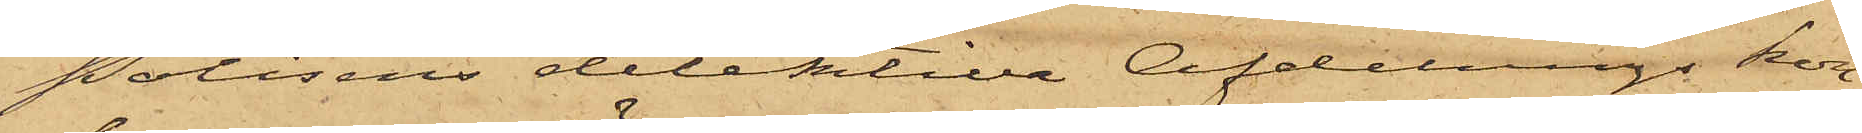Polisens detektiva afdelnings kon¬
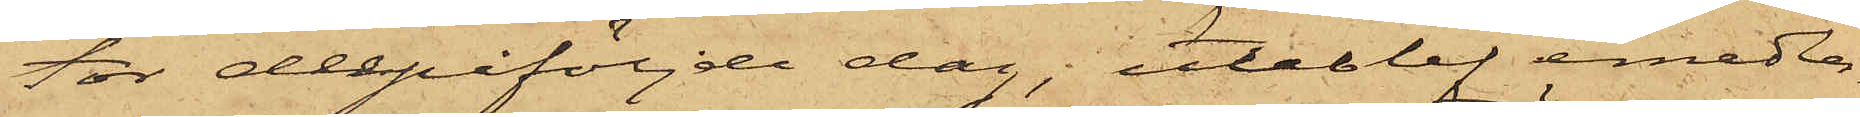tor derpåföljde dag uteblef emedler¬
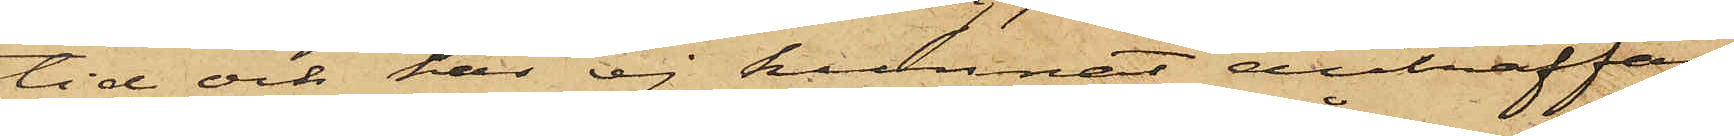tid och har ej kunnat anträffas
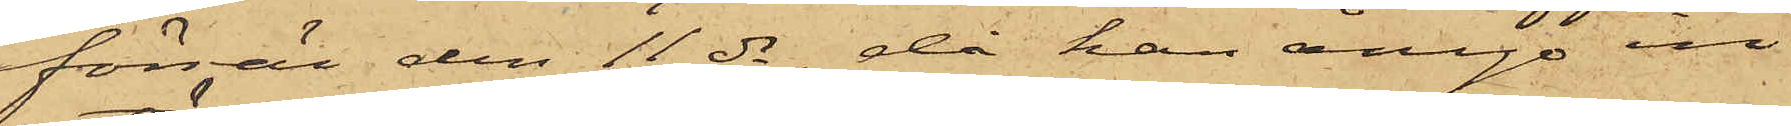förrän den 11 ds, då han ånyo in¬
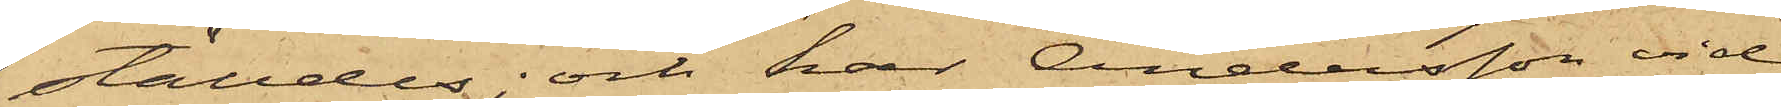ställdes; och har Andersson vid
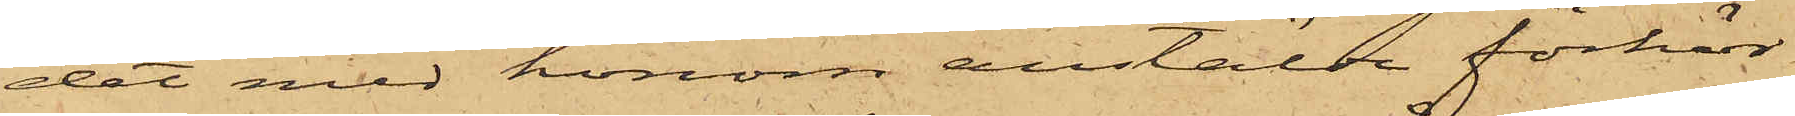det med honom anstälda förhör
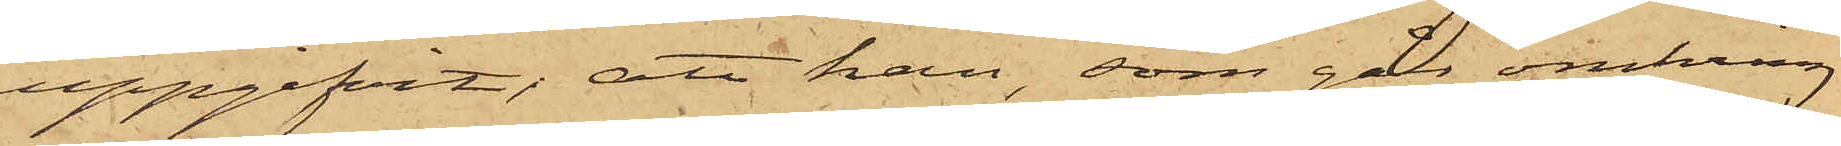uppgifvit; att han, som går omkring
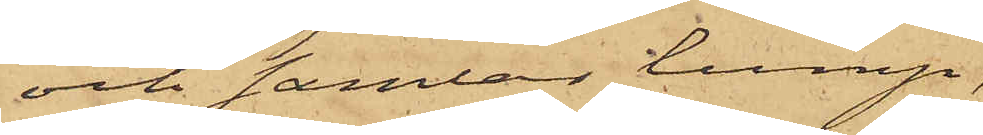och samlar lump,
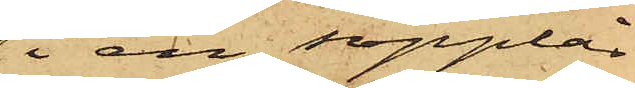i en soplår
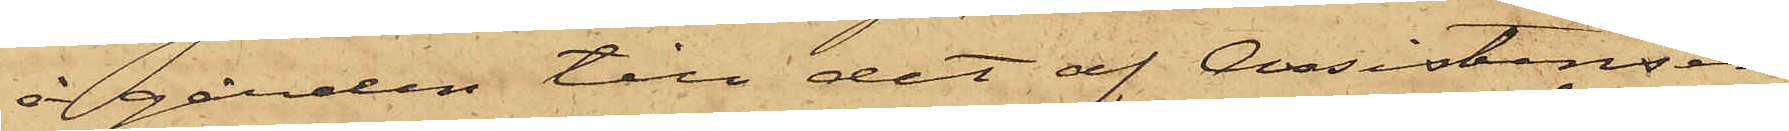å gården till det af Assistenten
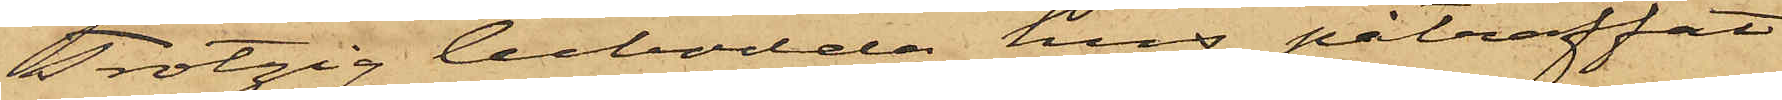Trotzig bebodda hus påträffat
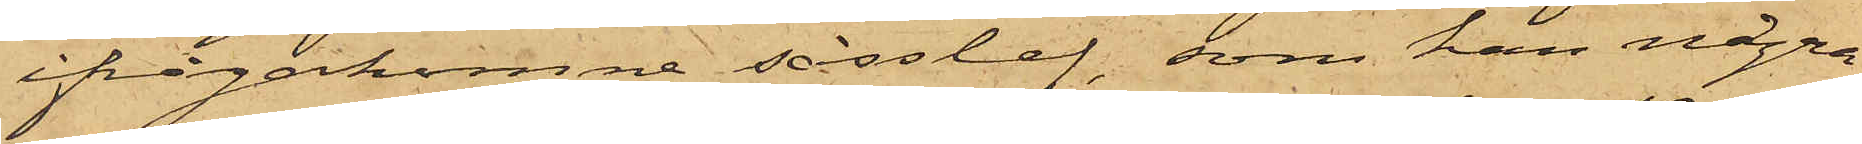ifrågakomne såsslef, som han några
